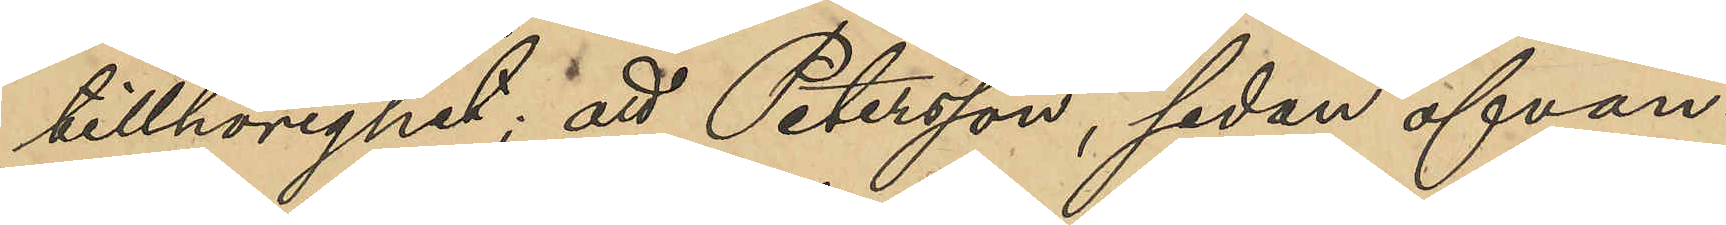tillhörighet; att Petersson, sedan ofvan¬
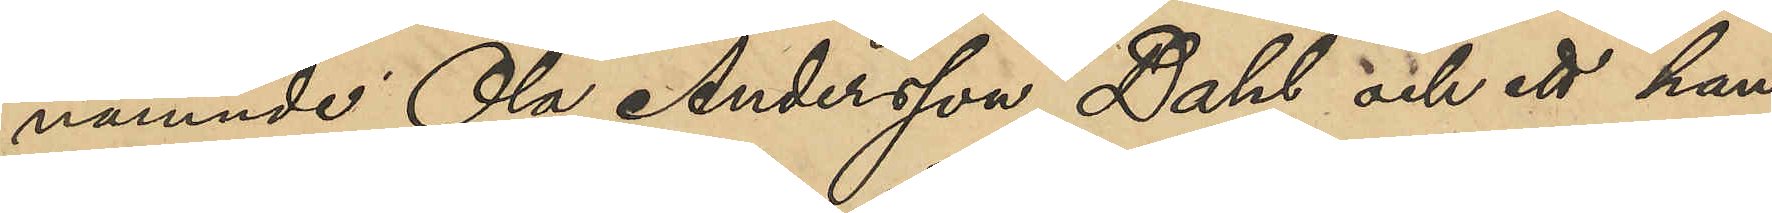nämnde Ola Andersson Dahl och ett han¬
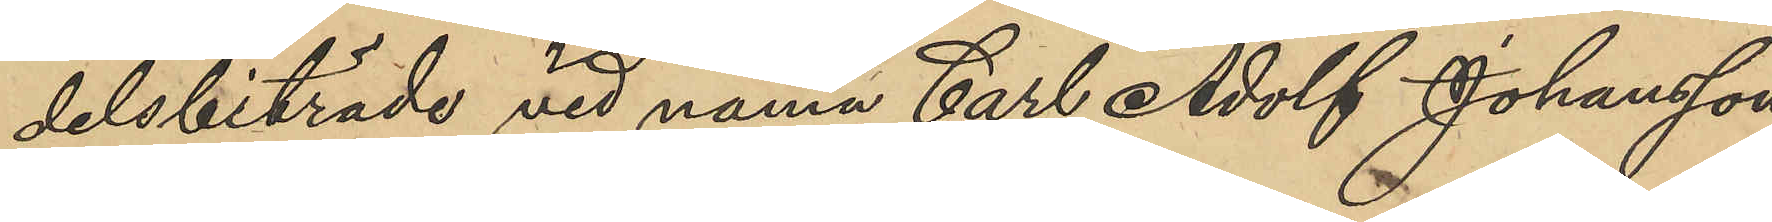delsbiträde vid namn Carl Adolf Johansson
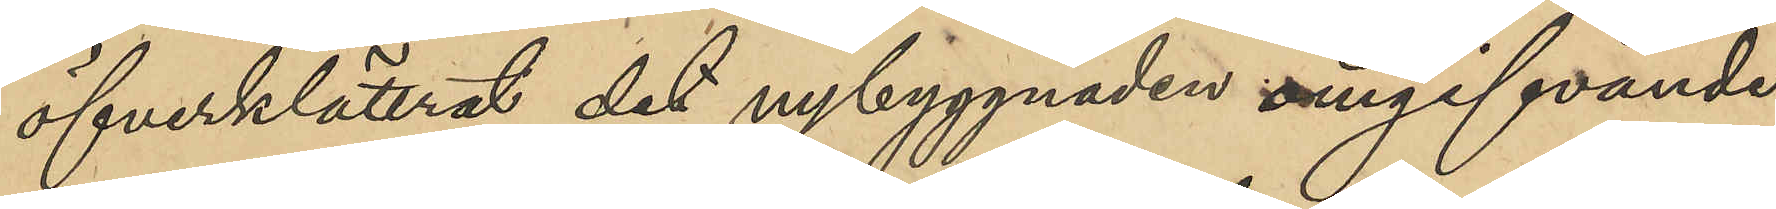öfverklättrat det nybyggnaden omgifvande
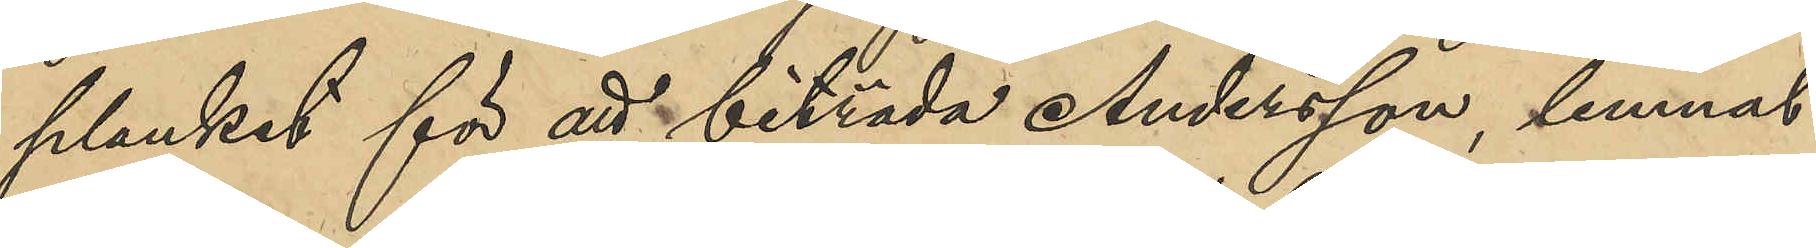planket för att biträda Andersson, lemnat
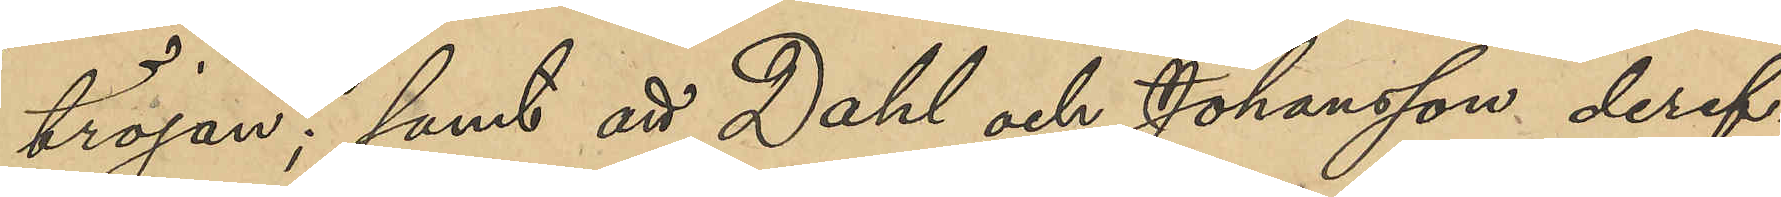tröjan; samt att Dahl och Johansson deref¬
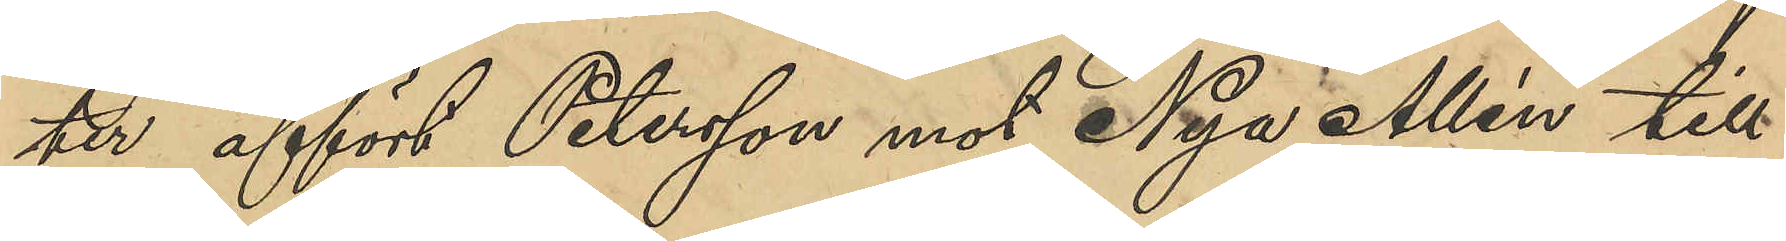ter affört Petersson mot Nya Allén till
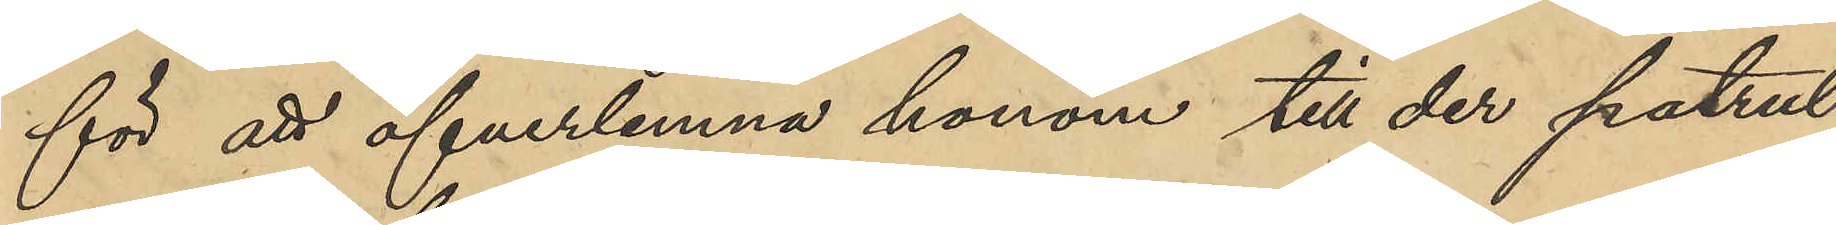för att öfverlemna honom till der patrul¬
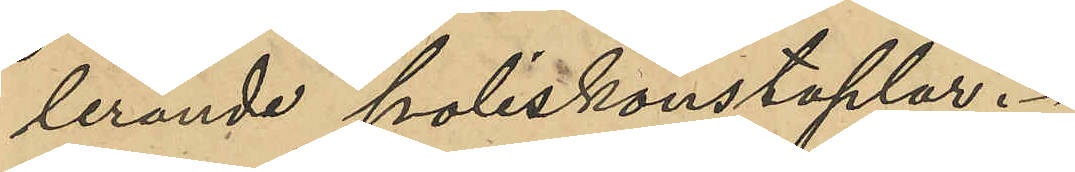lerande poliskonstaplar.
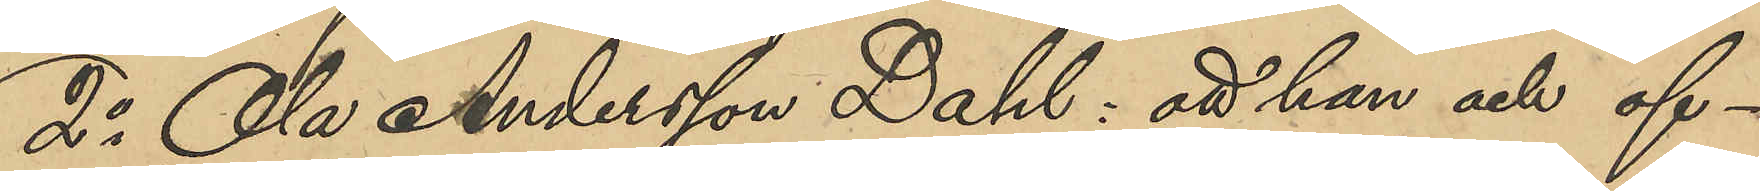2o Ola Andersson Dahl: att han och of¬
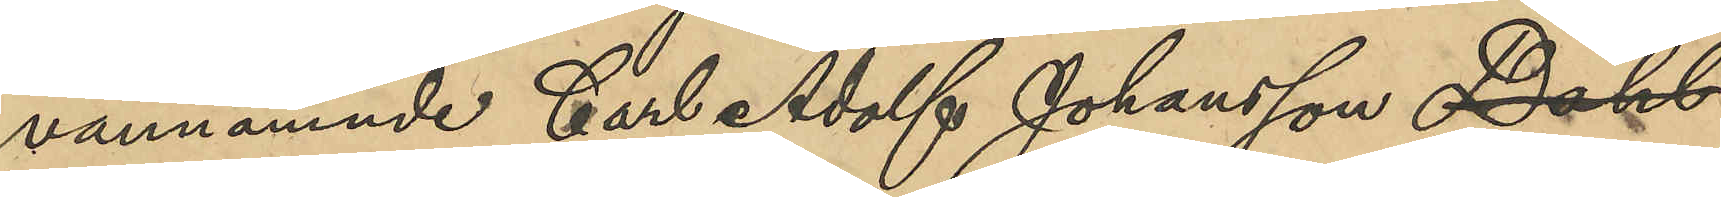vannämnde Carl Adolf Johansson Dahl
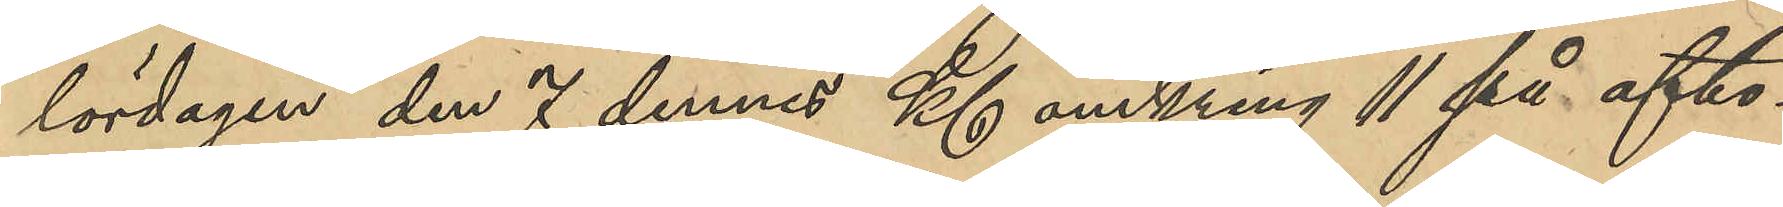lördagen den 7 dennes Kl omkring 11 på afto¬
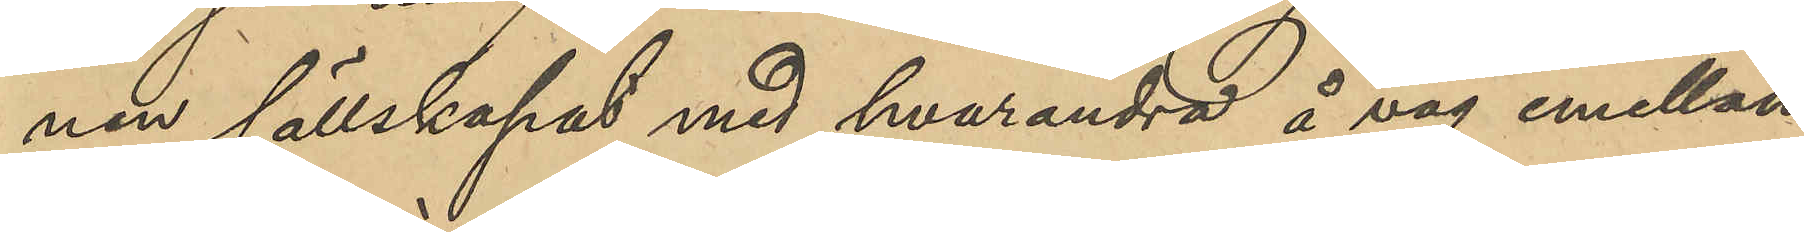nen sällskapat med hvarandra å väg emellan
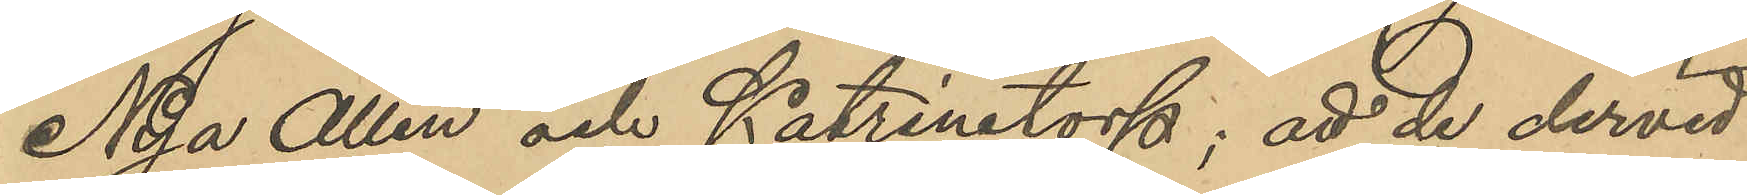Nya Allén och Katrinetorp; att de dervid
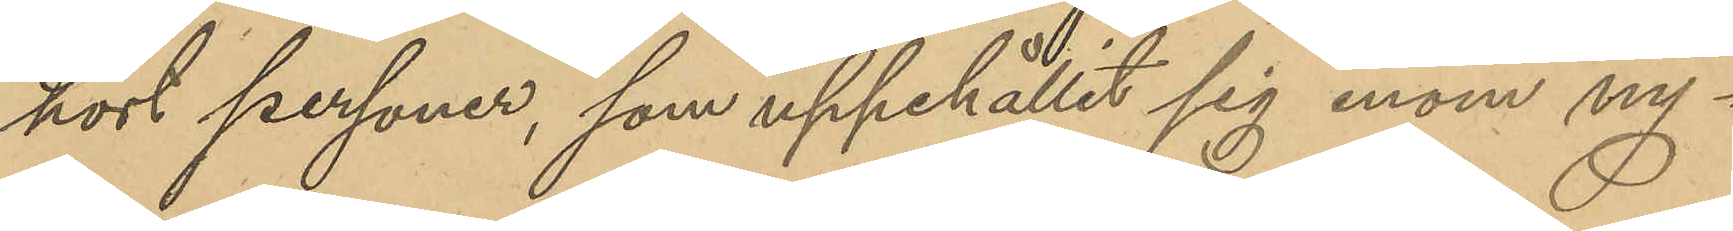hört personer, som uppehållit sig inom ny¬
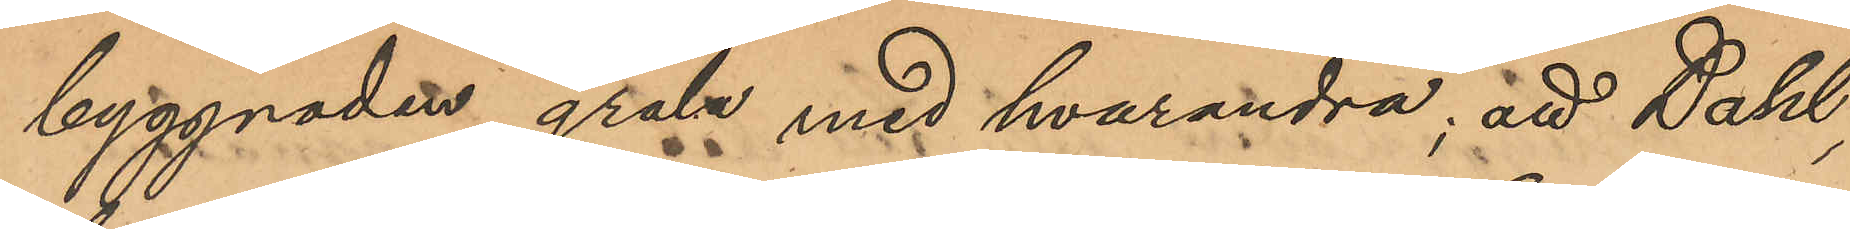byggnaden gräla med hvarandra; att Dahl,
